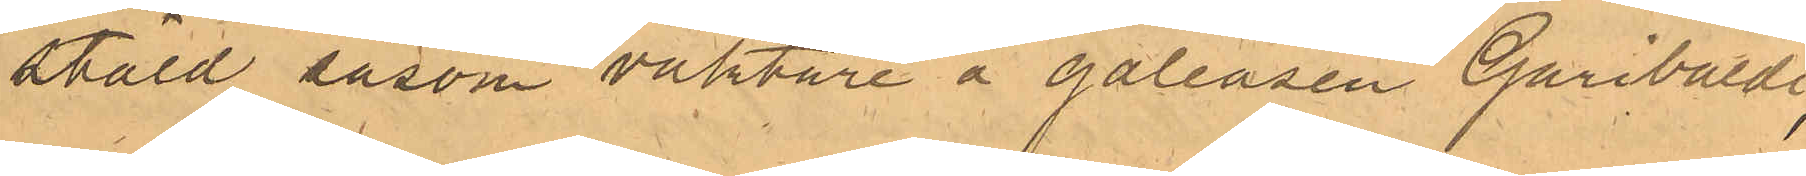ställd såsom vaktare å galeasen Garibaldi,
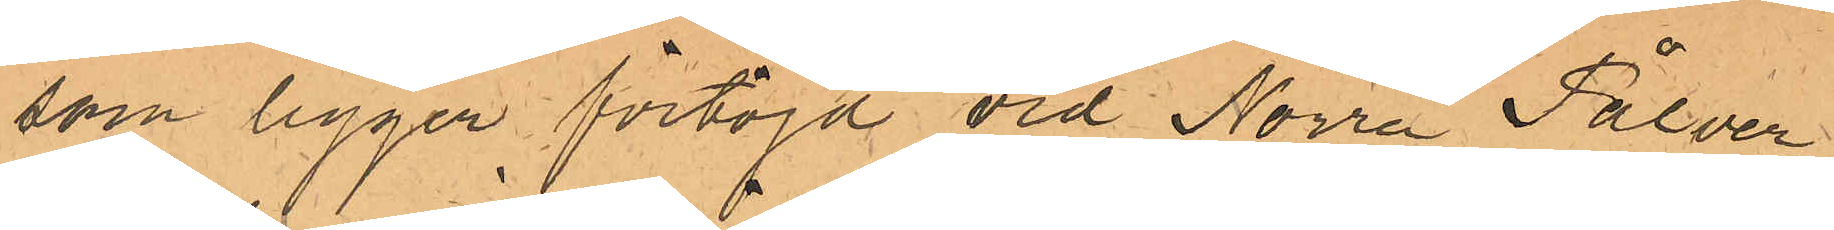som ligger förtöjd vid Norra Pålver¬
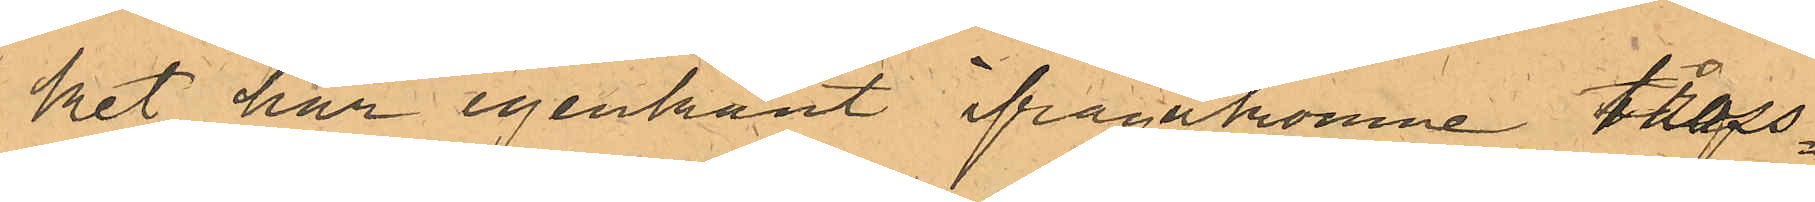ket har igenkänt ifrågakomne tross¬
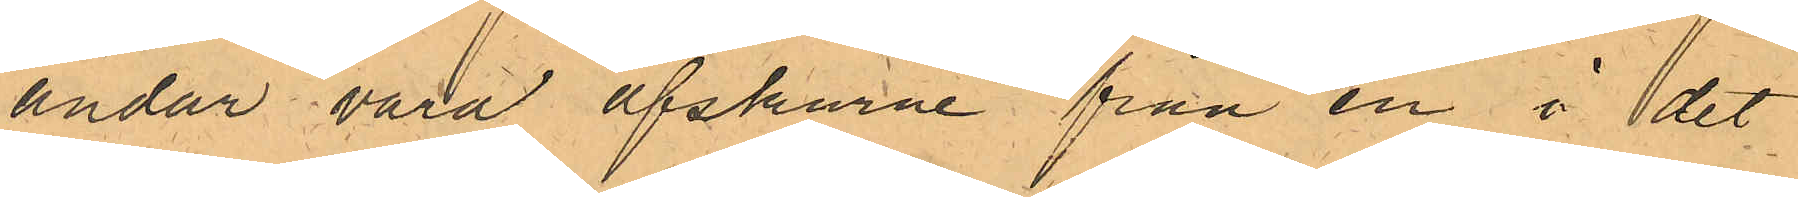ändar vara afskurne från en i det
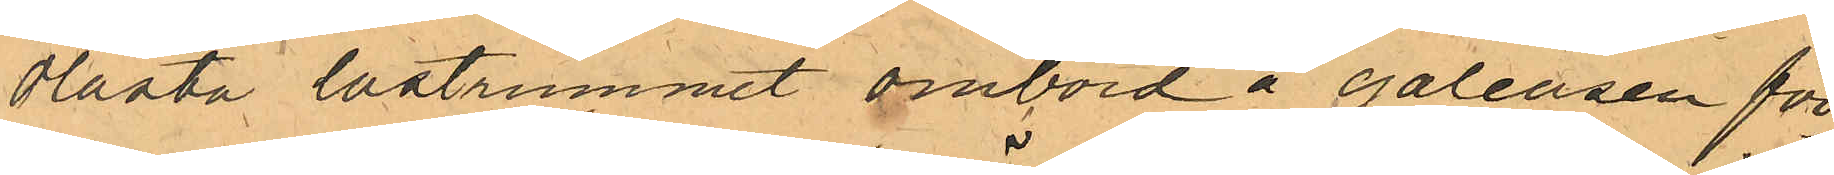olåsta lastrummet ombord å galeasen för¬
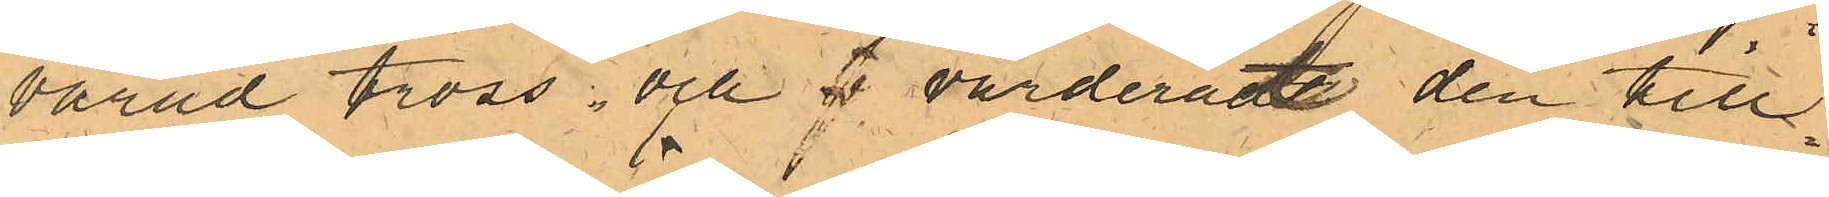varad tross och värderat den till¬
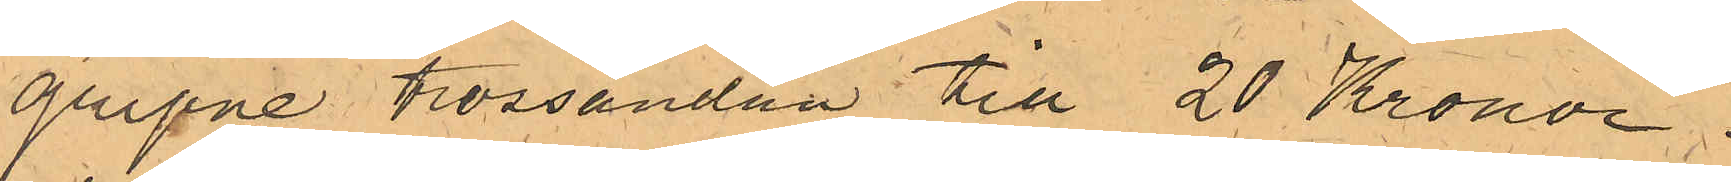gripne trossändan till 20 Kronor.
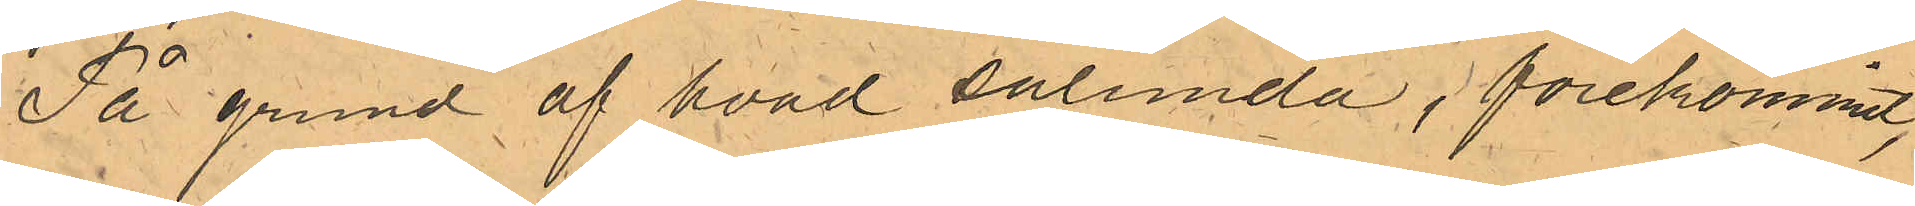På grund af hvad sålunda förekommit
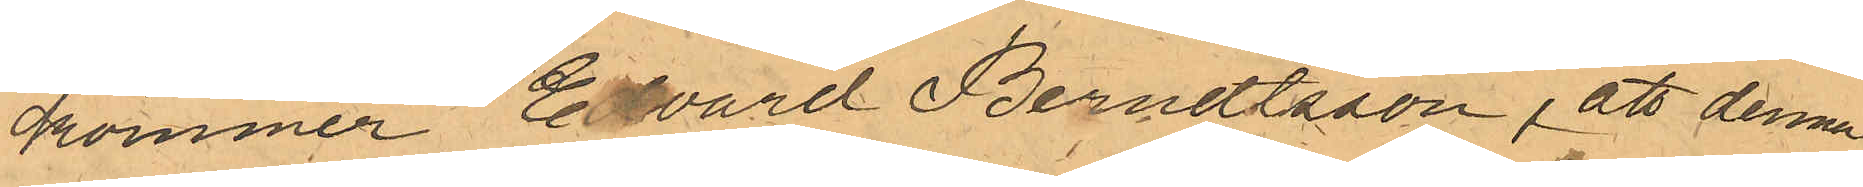kommer Edvard Berndtsson, att denna
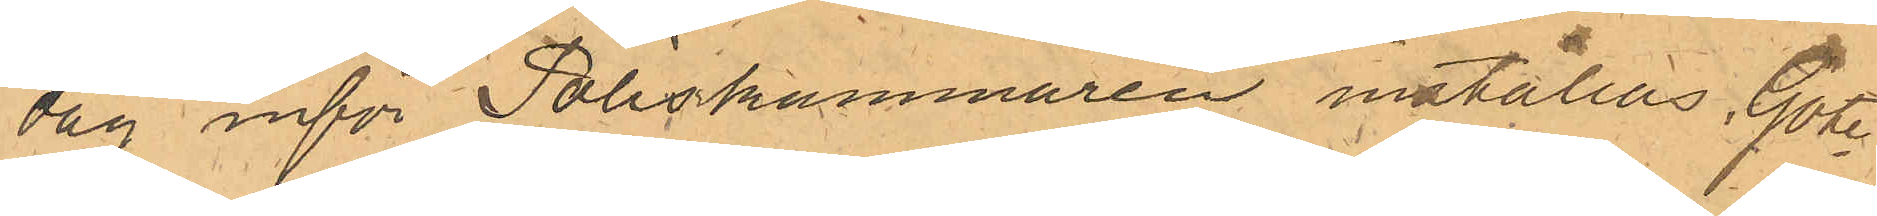dag inför Poliskammaren inställas. Göte¬
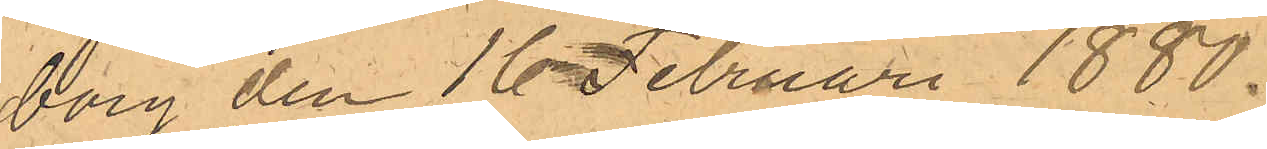borg den 16 Februari 1880.
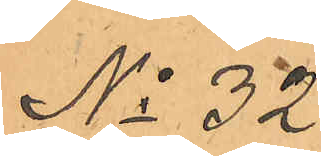No 32.
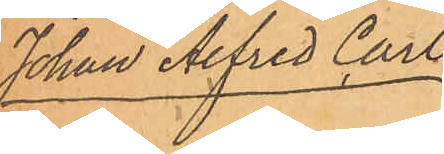Johan Alfred Carls¬
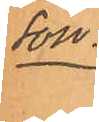son.
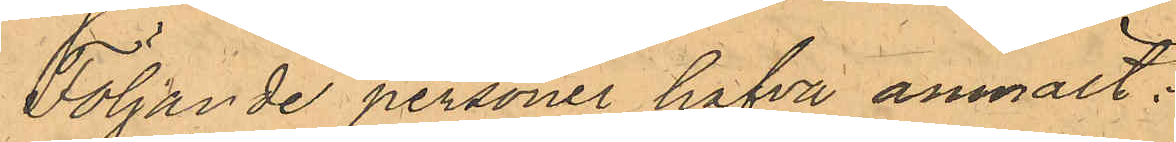Följande personer hafva anmält:
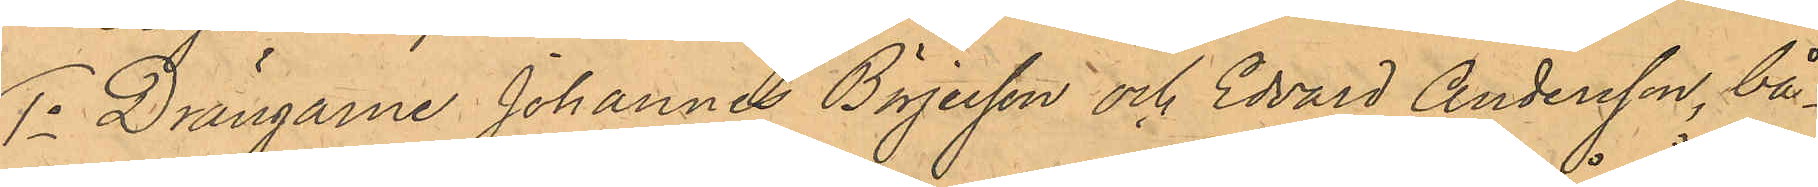1o Drängen Johannes Börjesson och Edvard Andersson, bå¬
